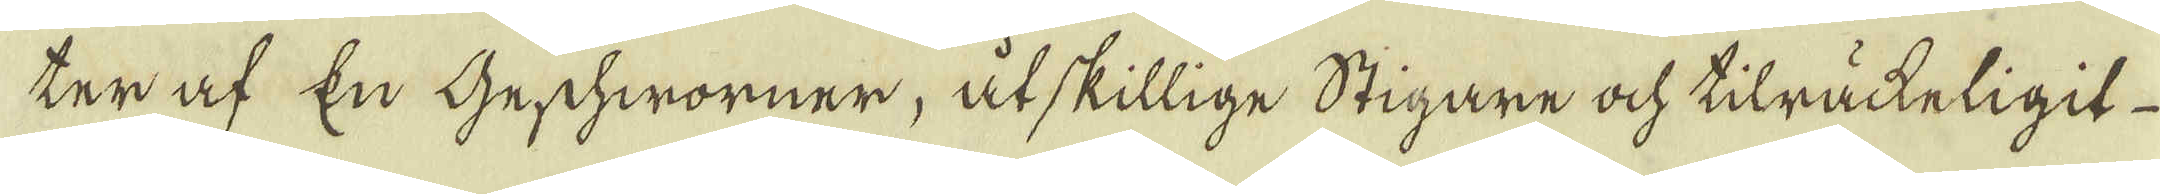ter af En Geschworner, åtskillige Stigare ock tilräckeligit
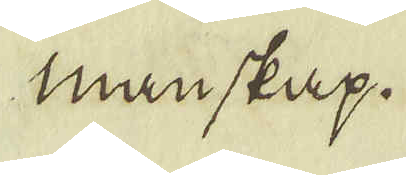manskap.
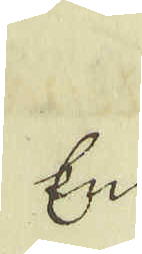En-
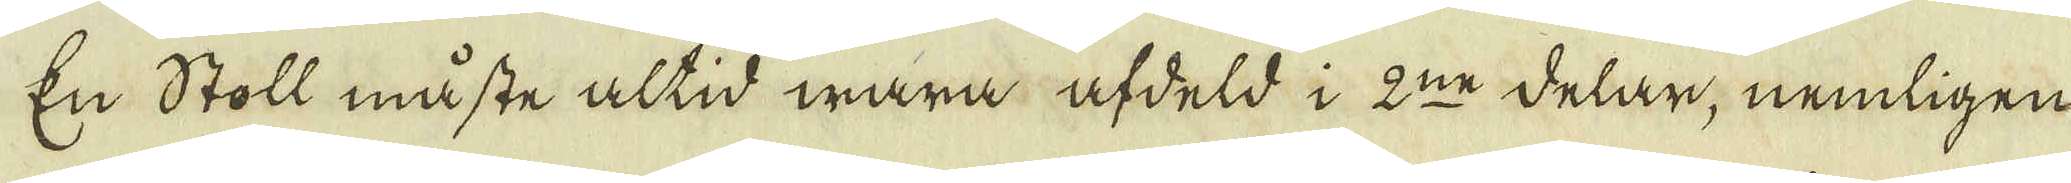En Stoll måste altid wara afdels i 2:ne delar, nemligen
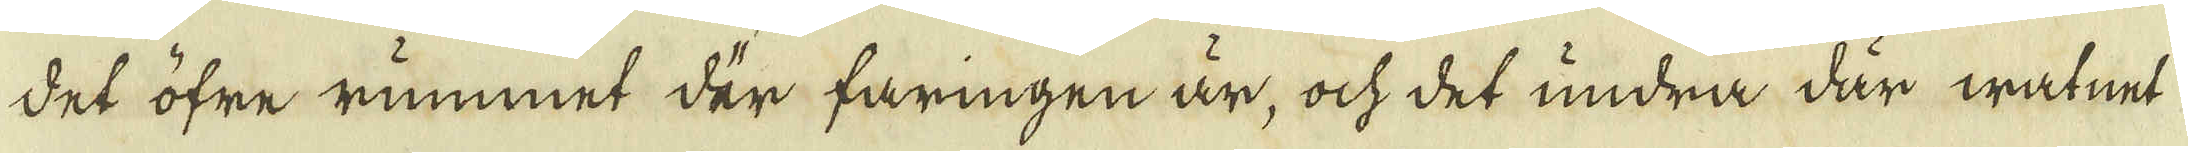det öfre rummet der faringen är, ock det undra där watnet
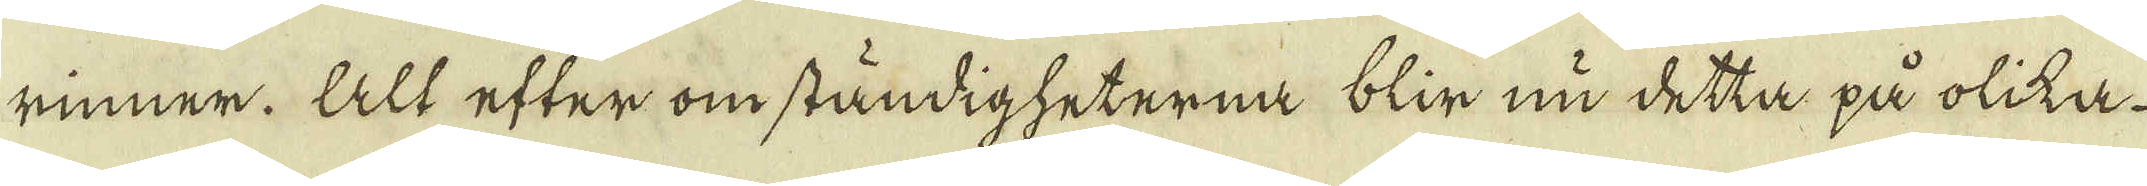rinner. Alt efter om ständigheterna blir nu detta på olika
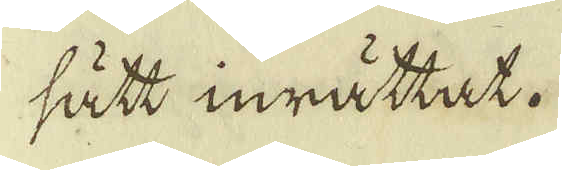sätt inrättat.
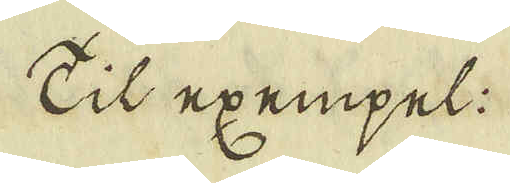Til exempel:
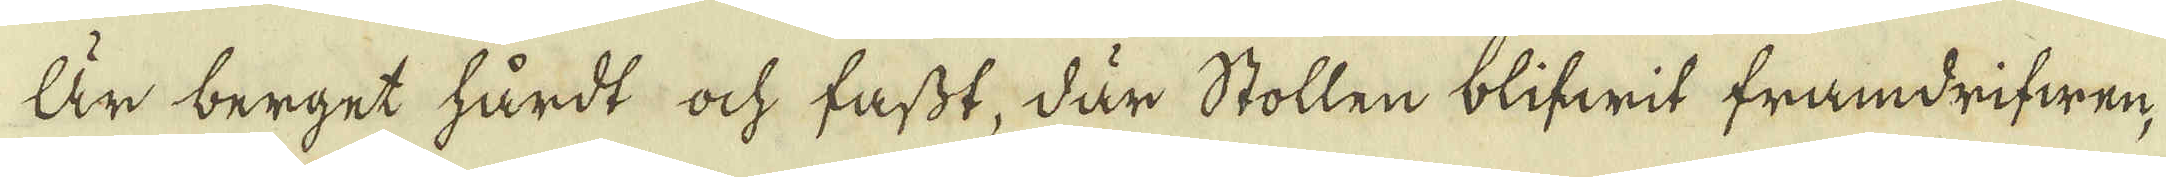Är berget hårdt ock fastt, där Stollen blifwit framdrifwen,
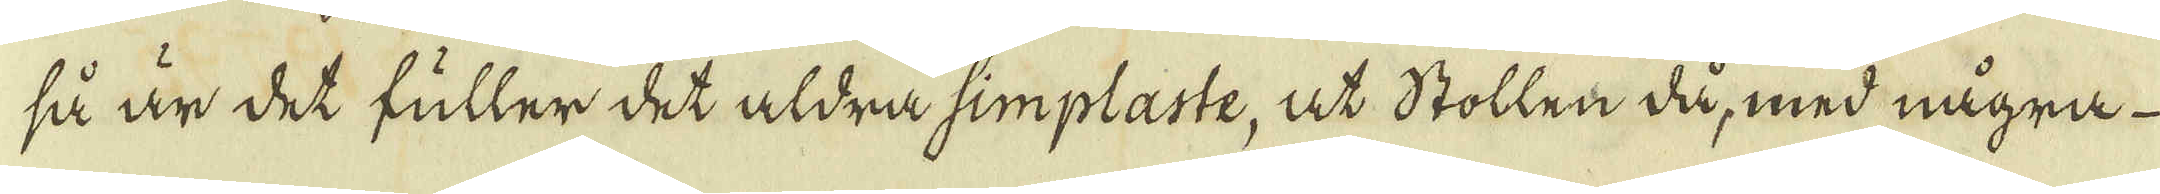så är det fuller det aldra simpläste, at Stollen då, med några
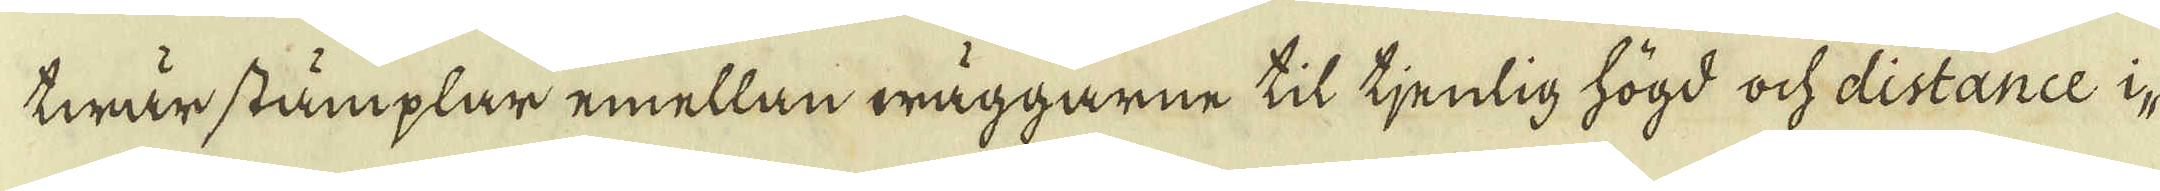twärstämplar emellan wäggarne til tjenlig högd och distance i
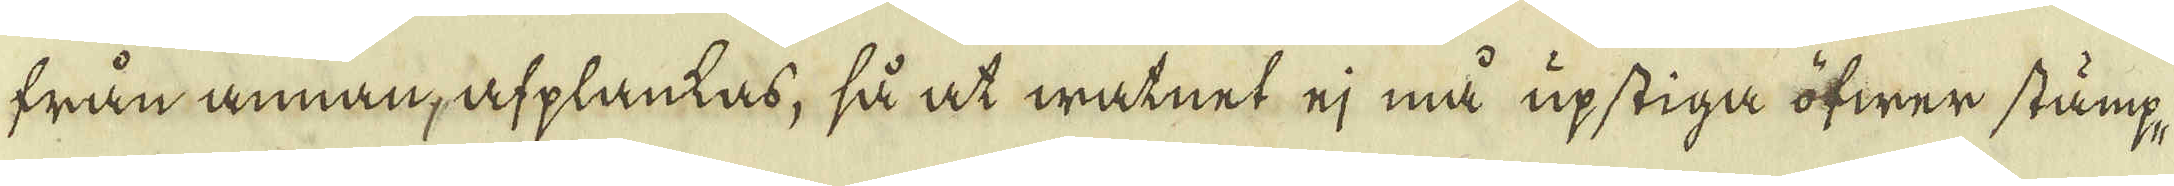från annan, afplantas, så at watnet ej må upstiga öfwer stämp,
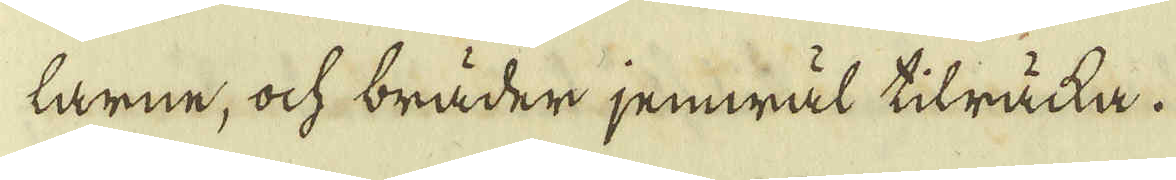larne, ock bräder jemwäl tilrätta.
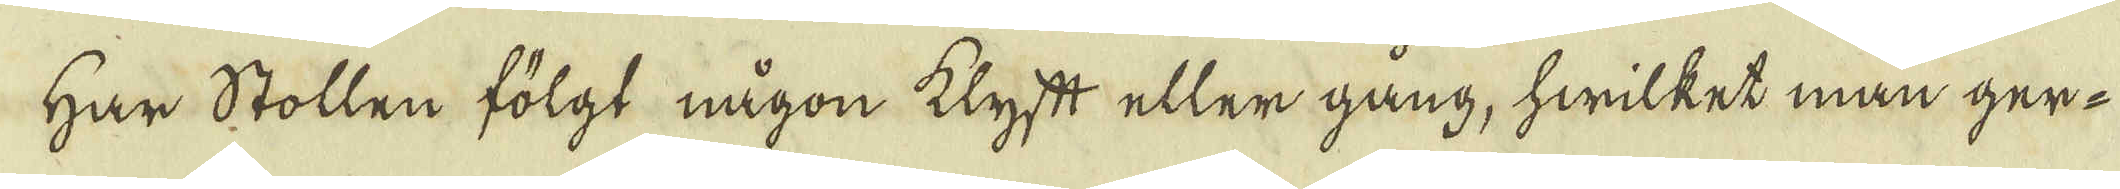Har Stollen fölgt någon klyft eller gång, hwilket man ger-
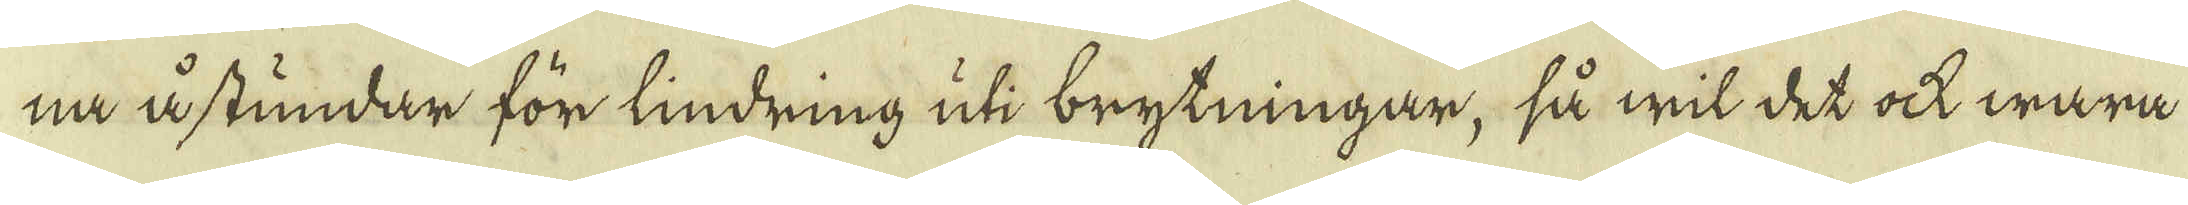na åstundar för tindring uti brytningar, så wit det at wara
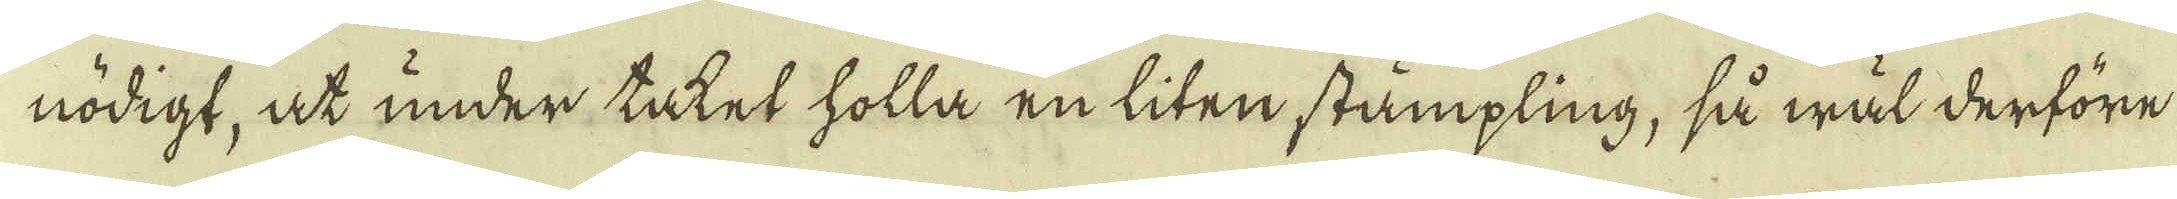nödigt, at under titet holla en liten stämpling, så wäl derföre
